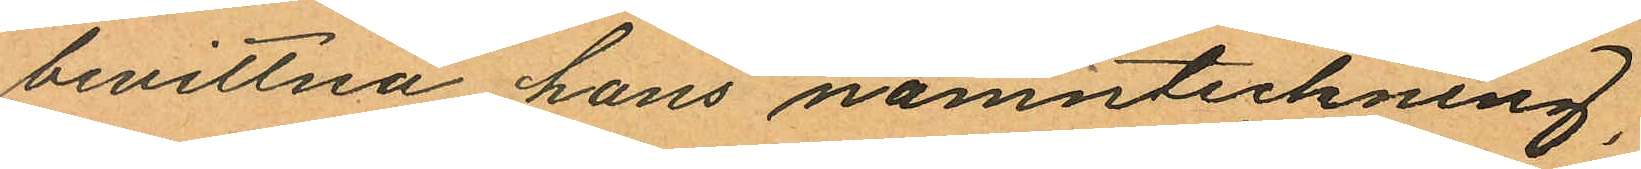bevittna hans namnteckning,
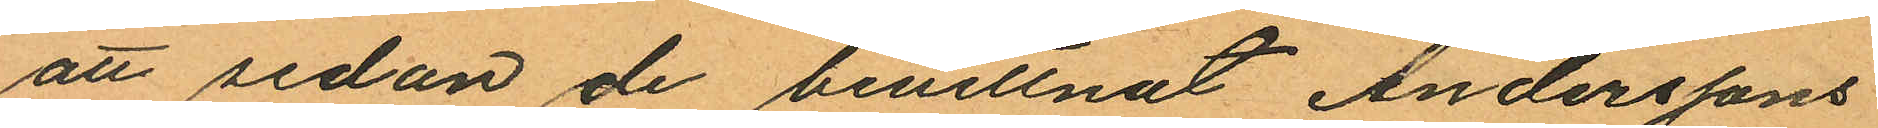att sedan de bevittnat Anderssons
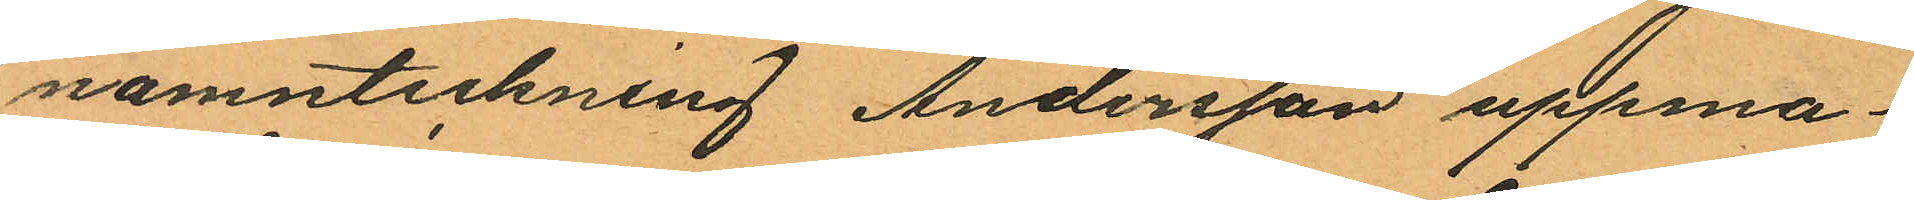namnteckning Andersson uppma¬
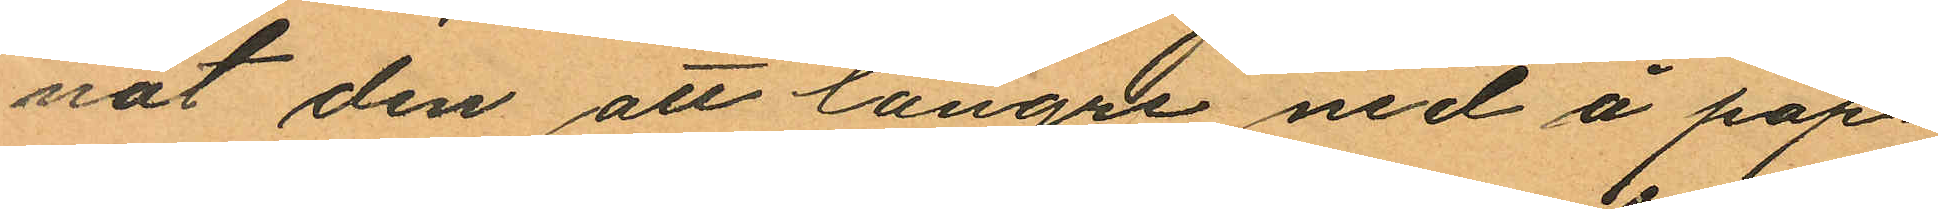nat den att längre ned å pap¬
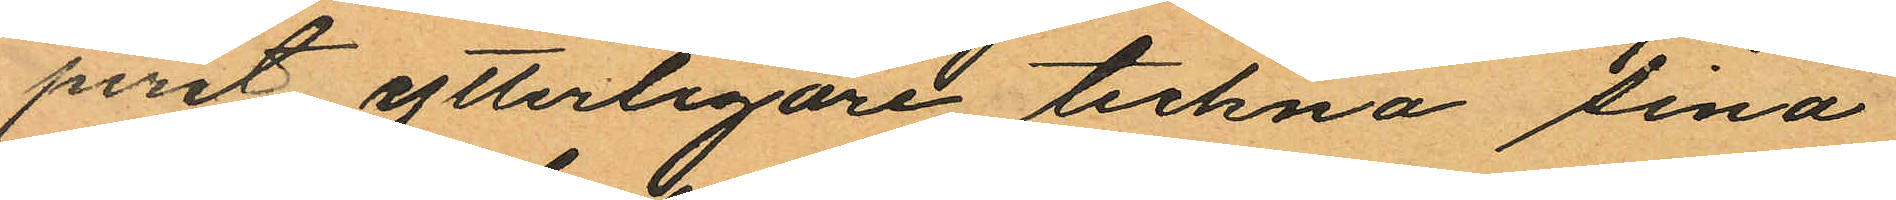peret ytterligare teckna sina
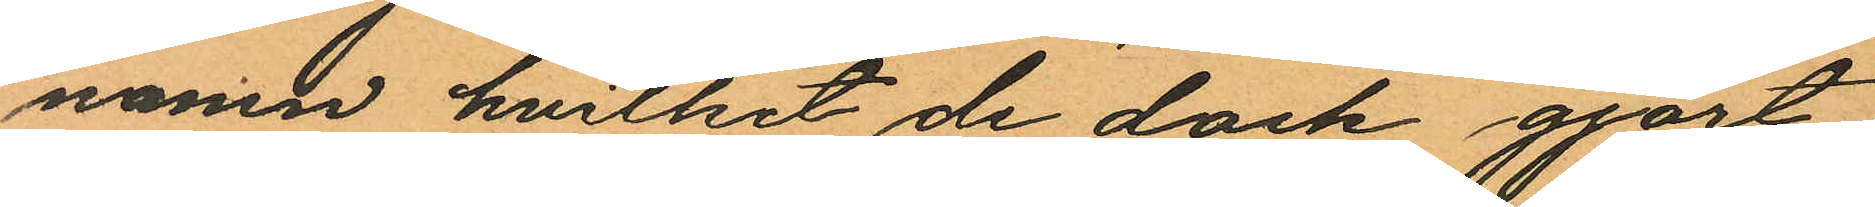namn hvilket de dock gjort
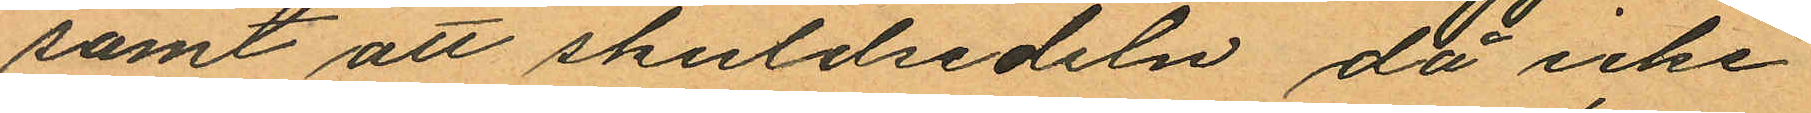samt att skuldsedeln då icke
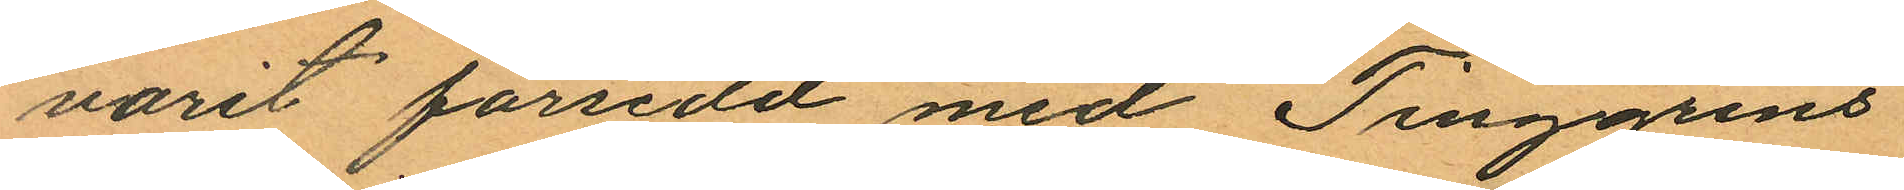varit försedd med Tinggrens
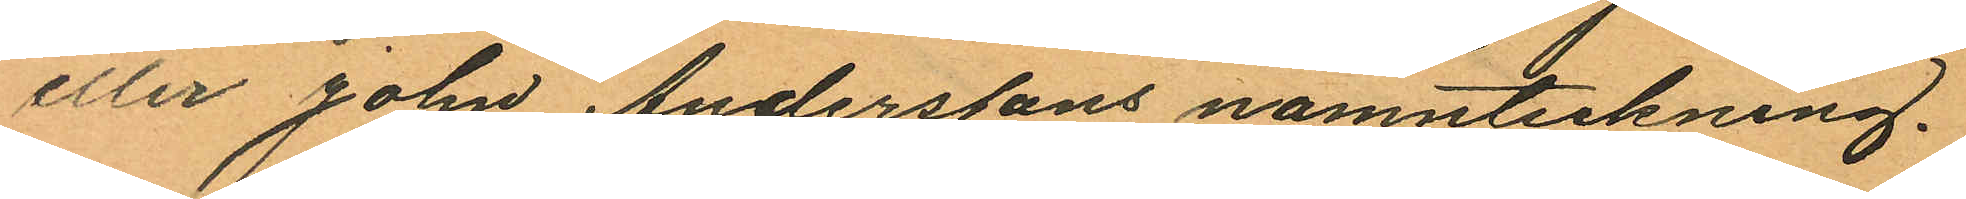eller John Anderssons namnteckning.
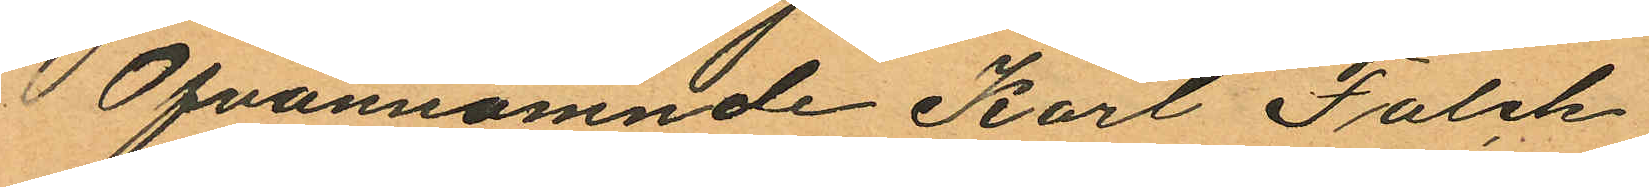Ofvannämnde Karl Falck
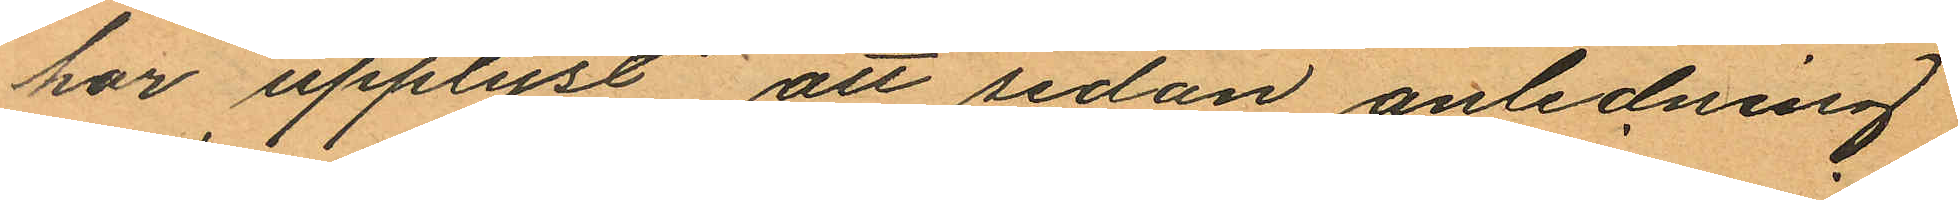har upplyst, att sedan anledning
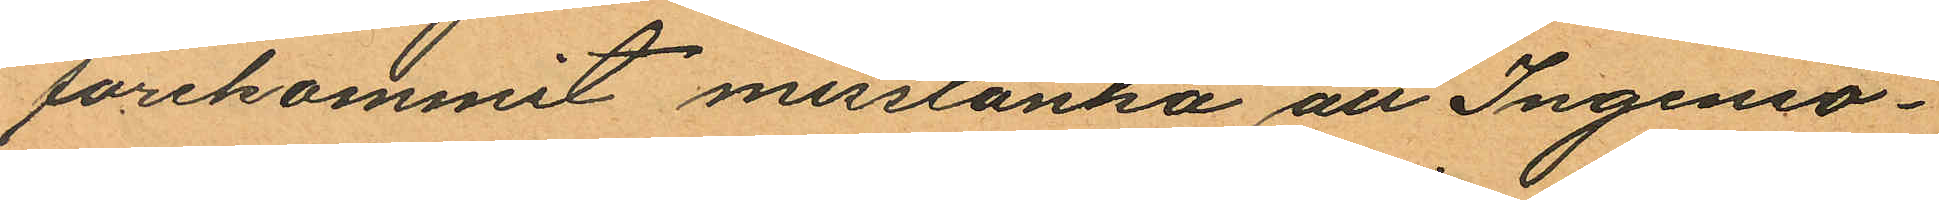förekommit misstänka att Ingeniö¬
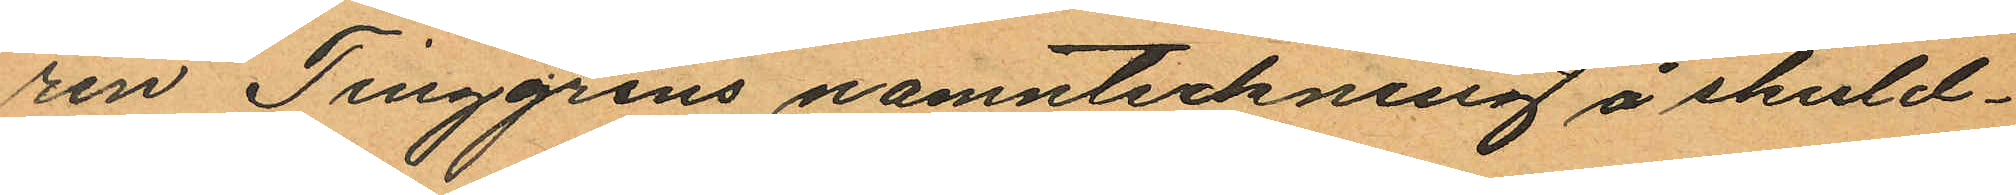ren Tinggrens namnteckning å skuld¬
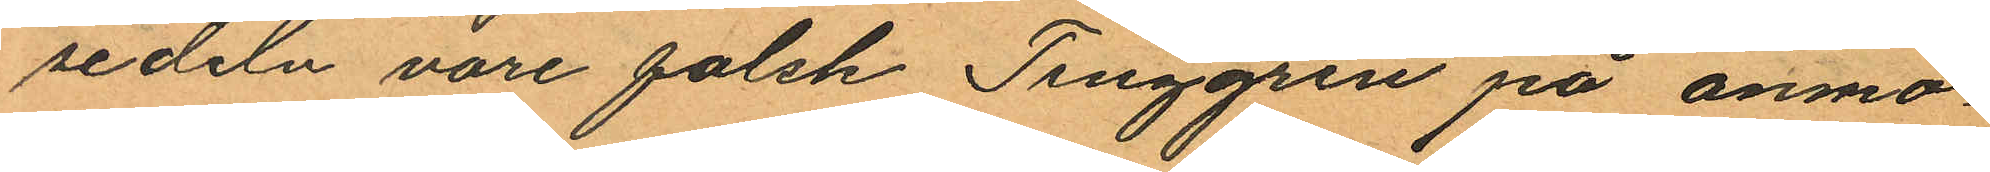sedeln vore falsk Tinggren på anmo¬
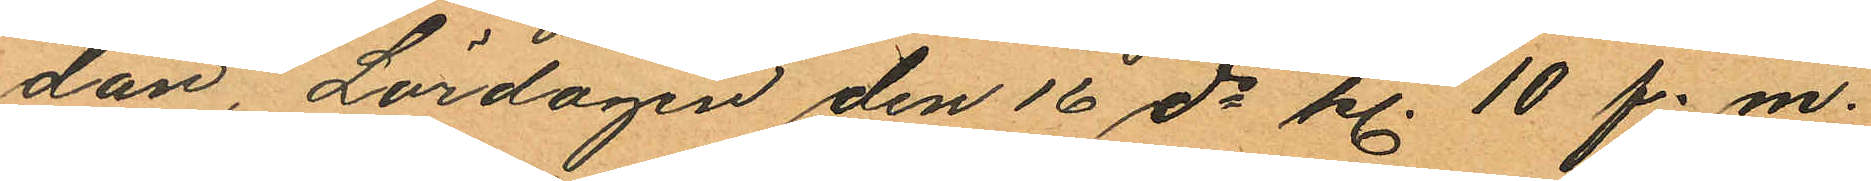dan, Lördagen den 16 ds kl. 10 f. m.
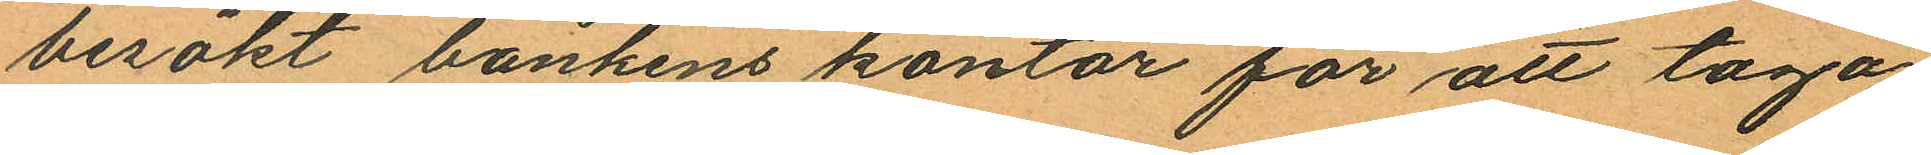besökt bankens kontor för att taga
